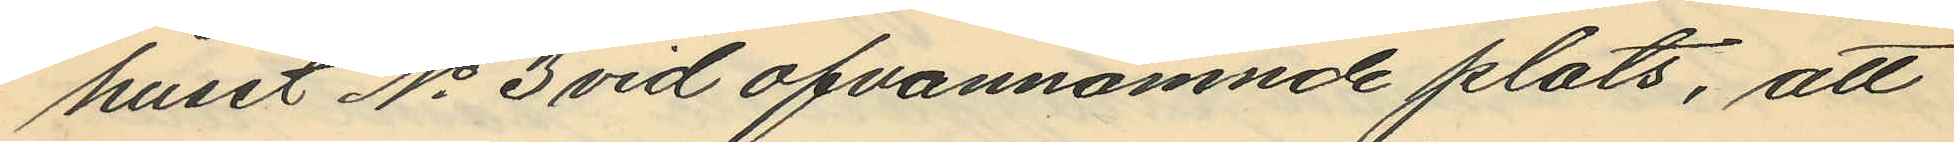huset No 3 vid ofvannämnde plats, att
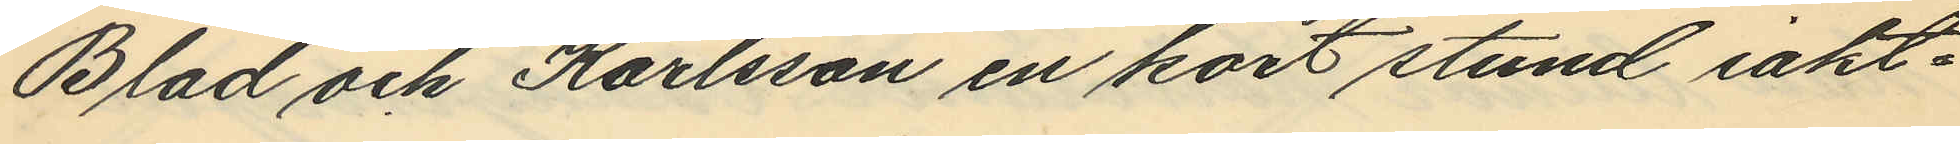Blad och Karlsson en kort stund iakt¬
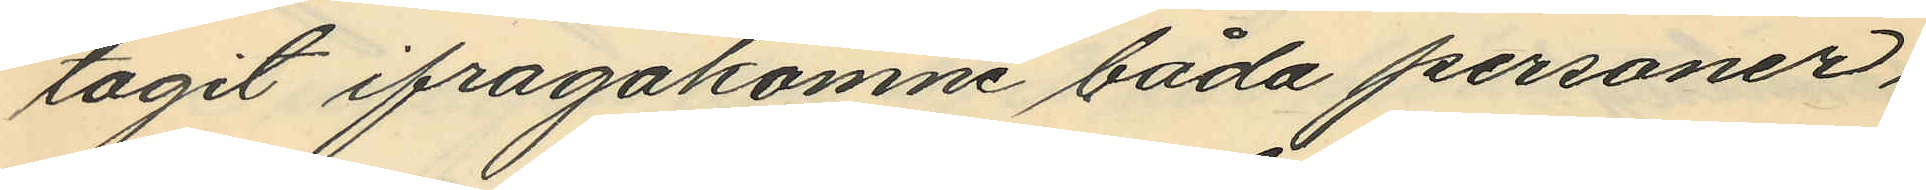tagit ifragakomne båda personer,
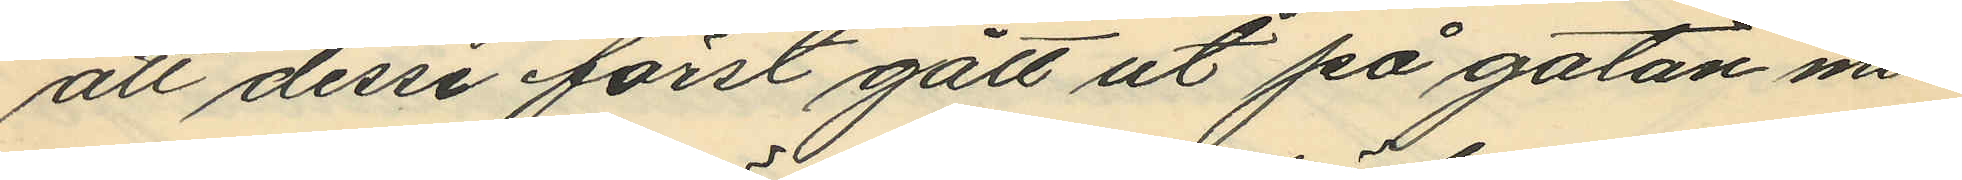att desse först gått ut på gatan men
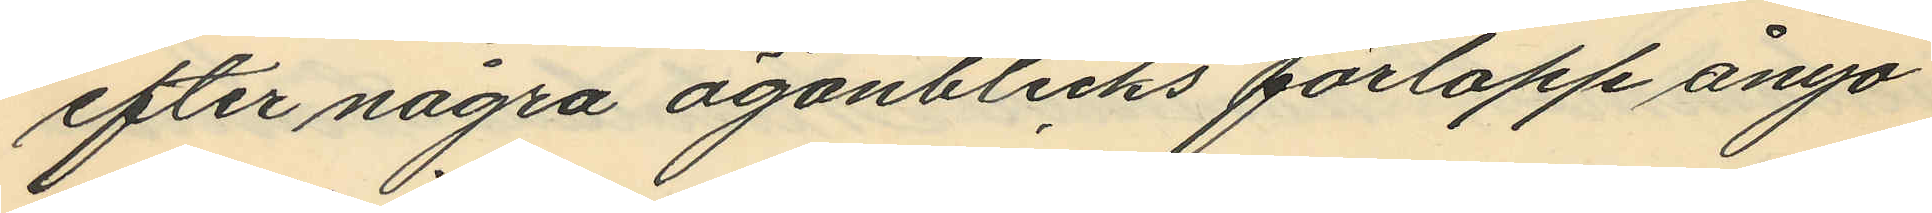efter några ögonblicks förlopp ånyo
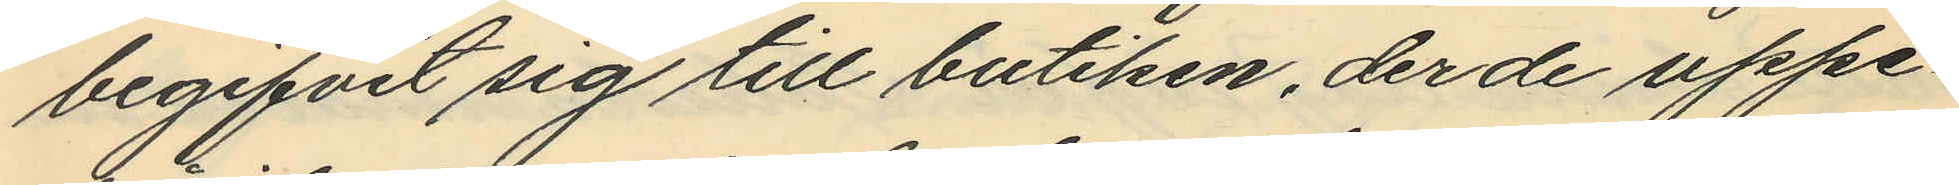begifvit sig till butiken, der de uppe¬
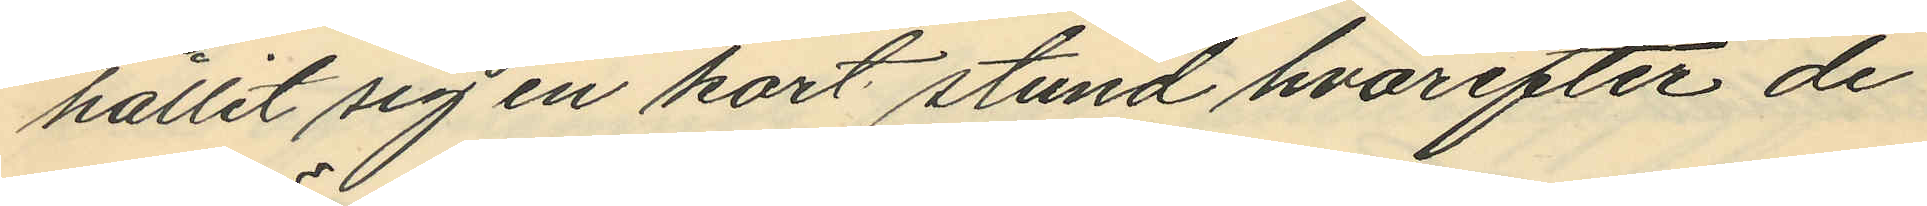hållit sig en kort stund, hvarefter de
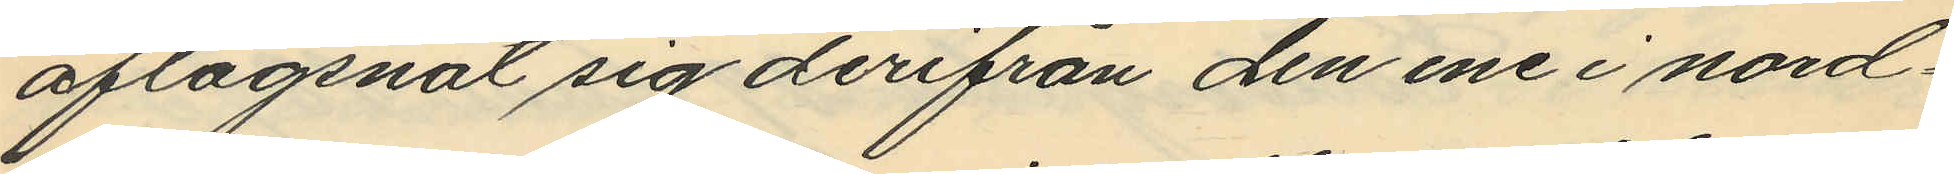aflägsnat sig derifrån den ene i nord¬
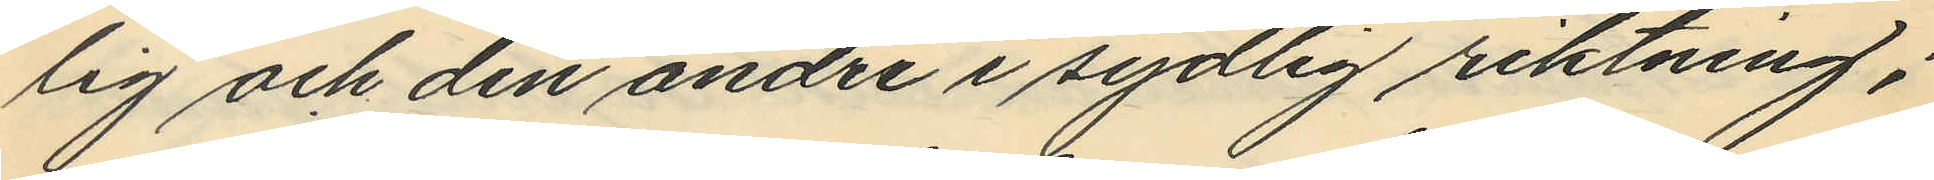lig och den andre i sydlig riktning;
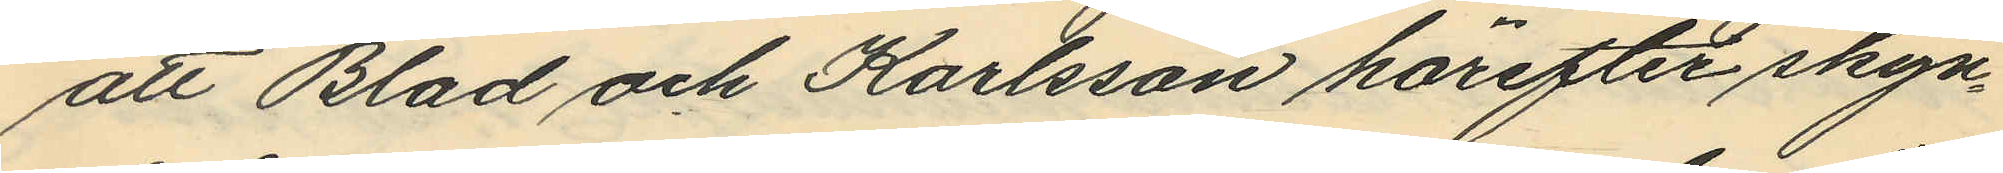att Blad och Karlsson härefter skyn¬
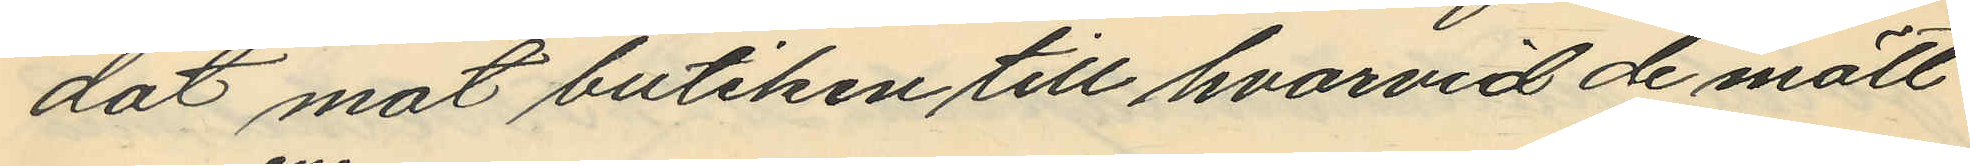dat mot butiken till hvarvid de mött
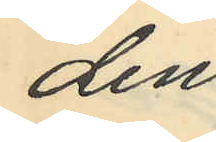den
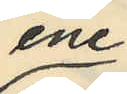ene
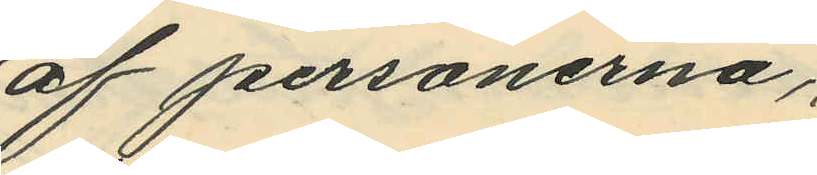af personerna,
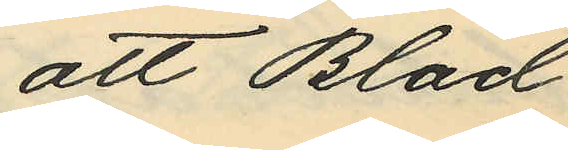att Blad
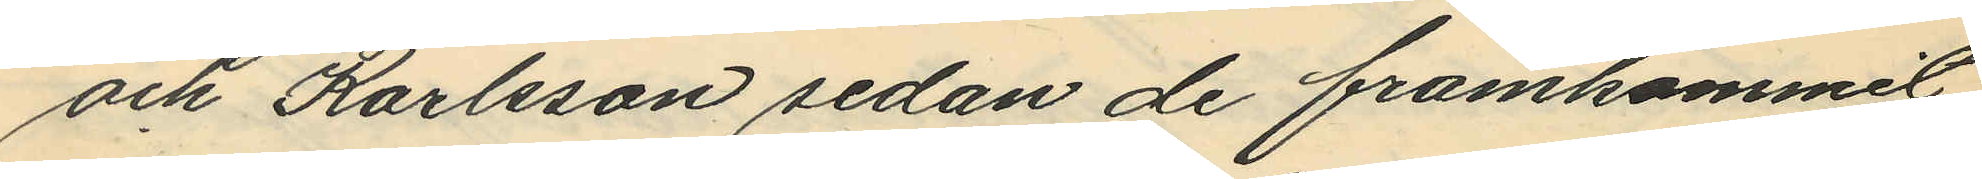och Karlsson sedan de framkommit
